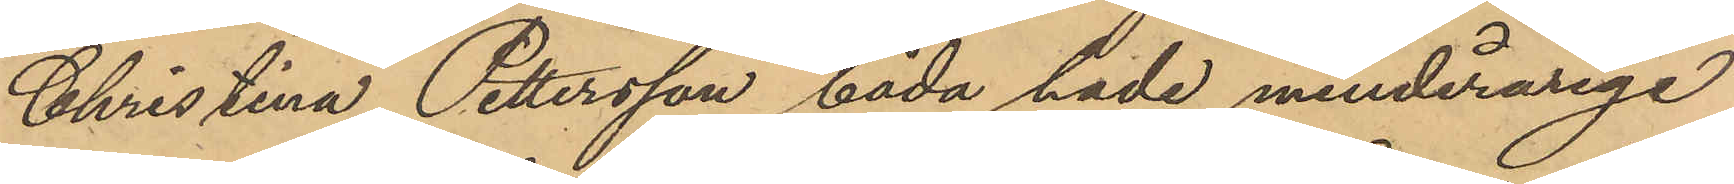Christina Pettersson, båda hade minderårige
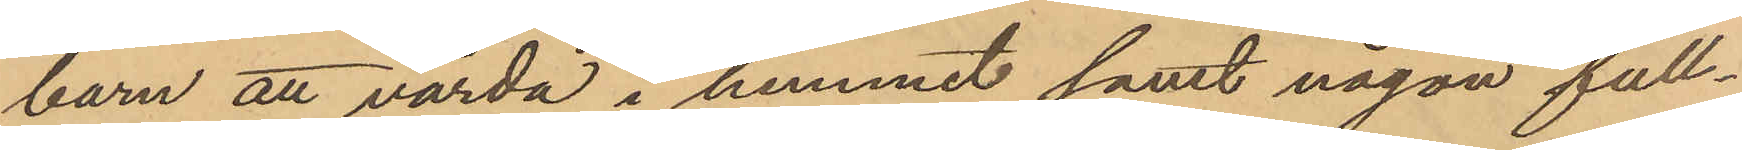barn att vårda i hemet samt någon full¬
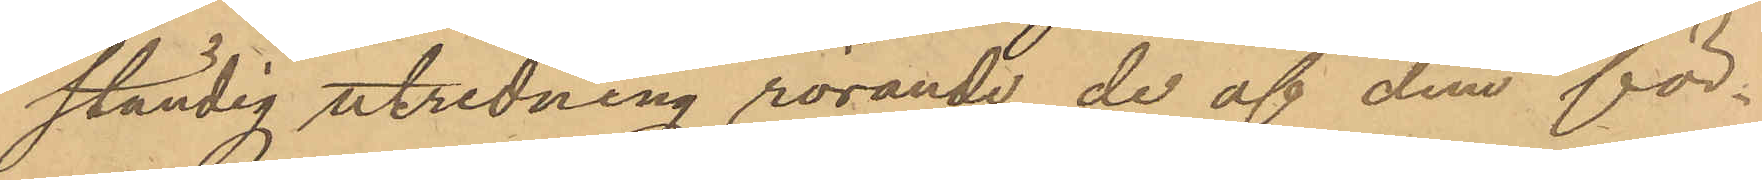ständig utredning rörande de af dem för¬
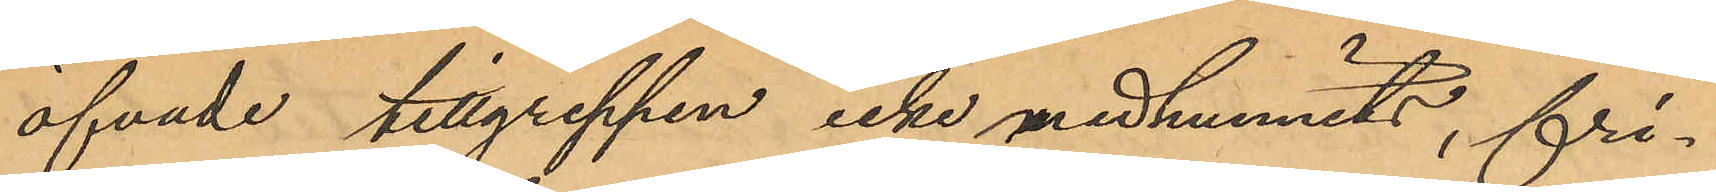öfvade tillgreppen icke medhunnits, fri¬
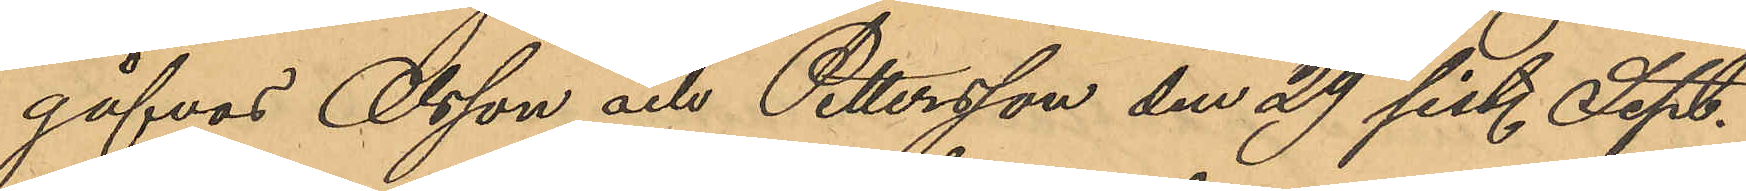gåfvos Olsson och Pettersson den 29 sist. Sept.
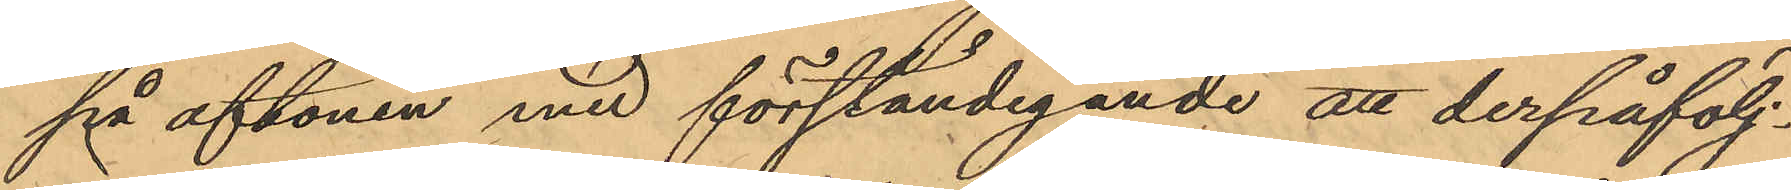på aftonen med förståndigande att derpåfölj¬
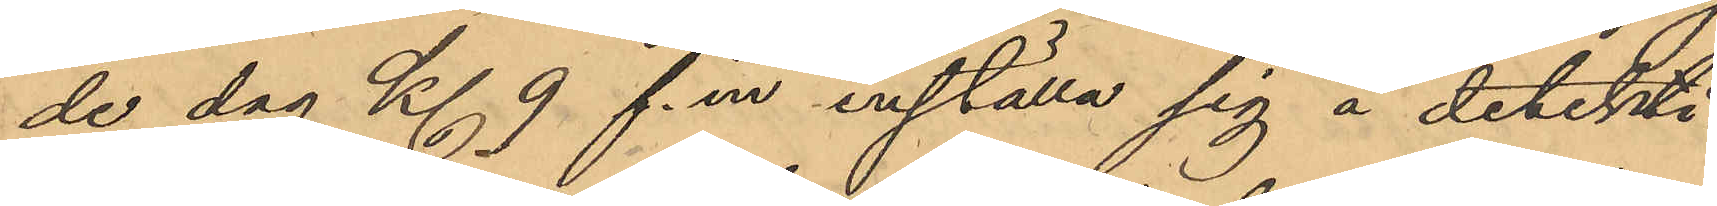de dag Kl 9 f. m. inställa sig å detekti¬
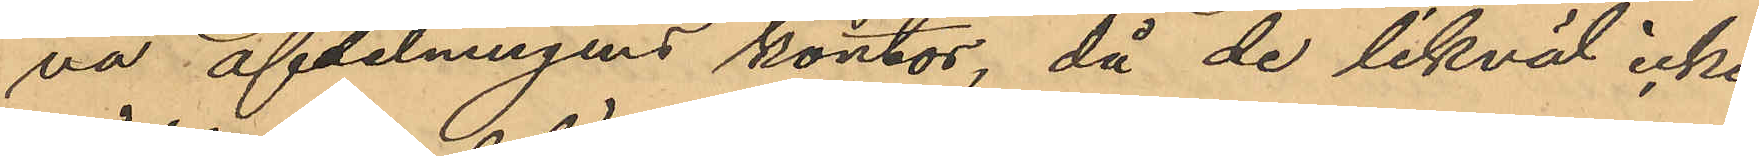va afdelningens kontor, då de likväl icke
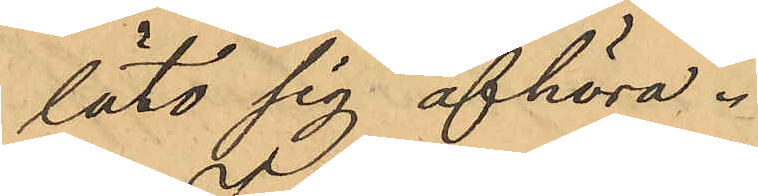läto sig afhöra.
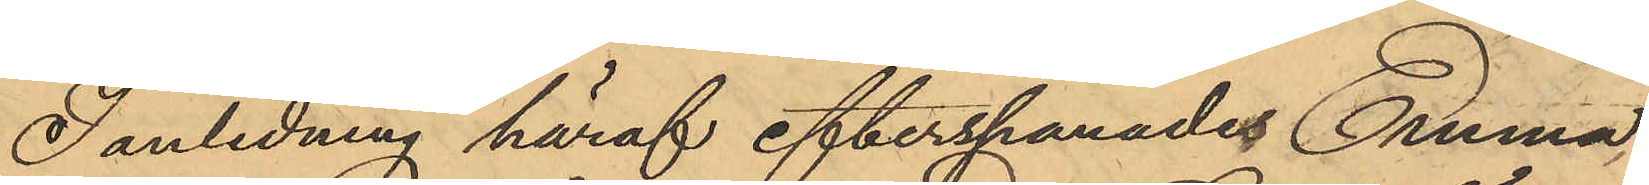I anledning häraf efterspanades Emma
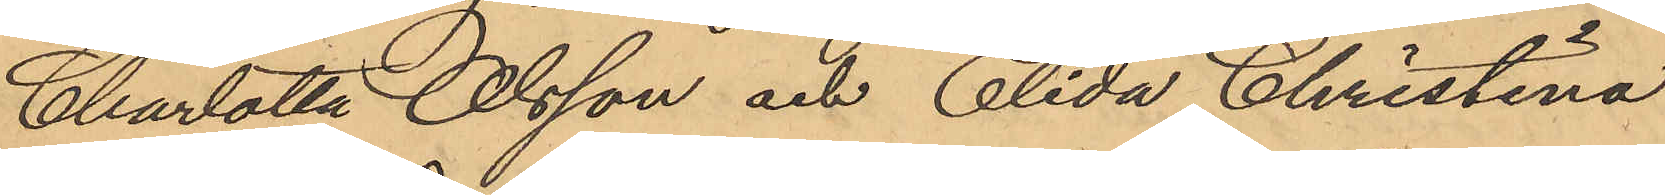Charlotta Olsson och Elida Christina
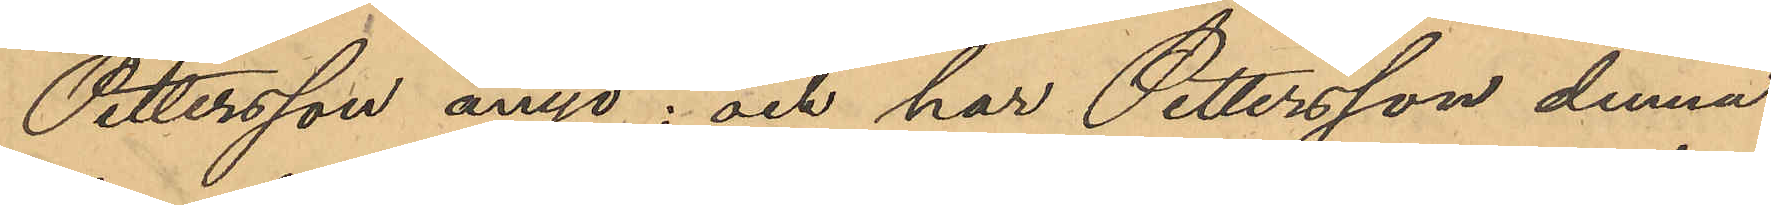Pettersson ånyo; och har Pettersson denna
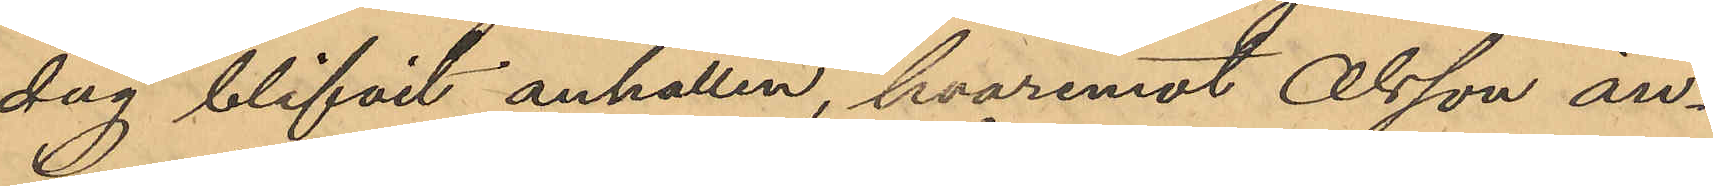dag blifvit anhållen, hvaremot Olsson än¬
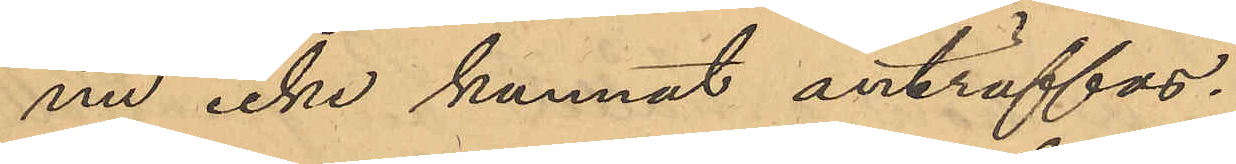nu icke kunnat anträffas.
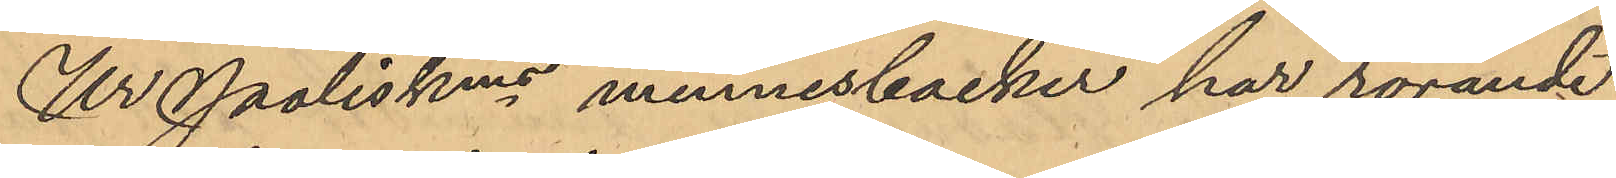Ur Poliskens minnesböcker har rörande
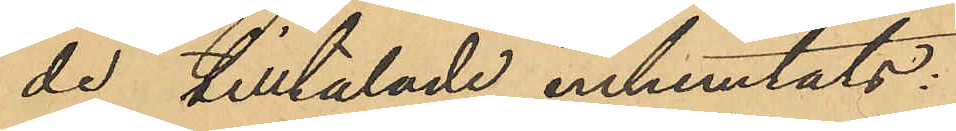de tilltalade inhemtats:
